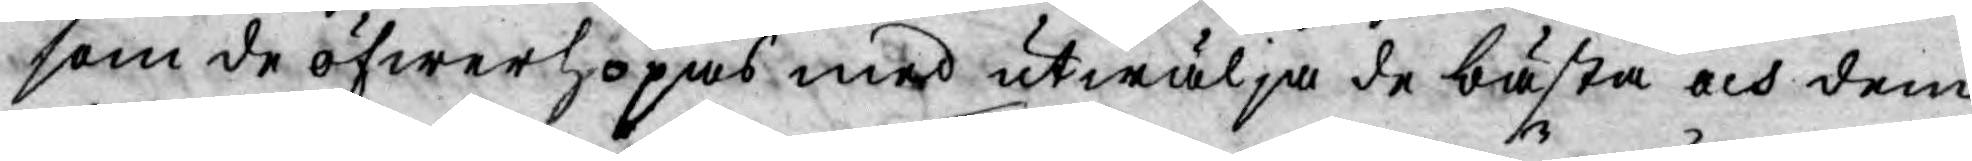som de öfwerhopas med utwälja de bästa och dem
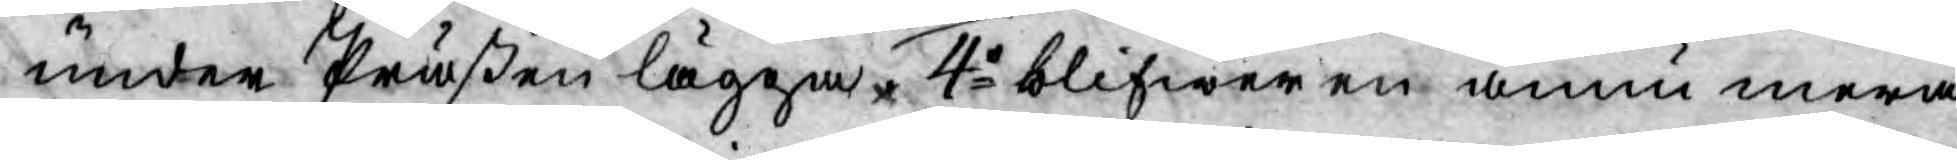under Präßen lägga. 4o blifwer en ännu mera
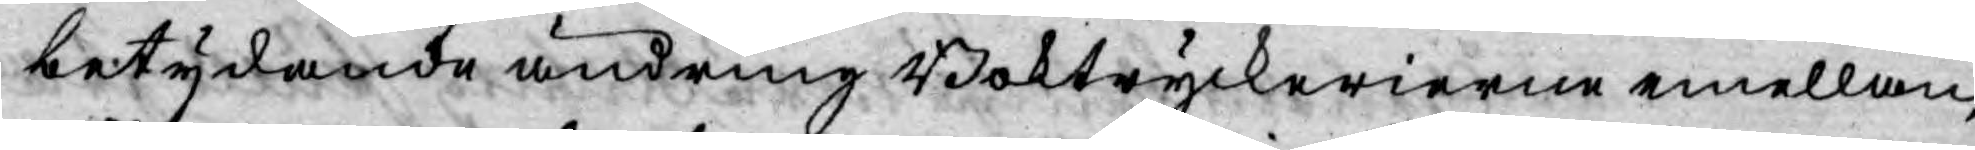betydande ändring Boktryckerierne emellan,
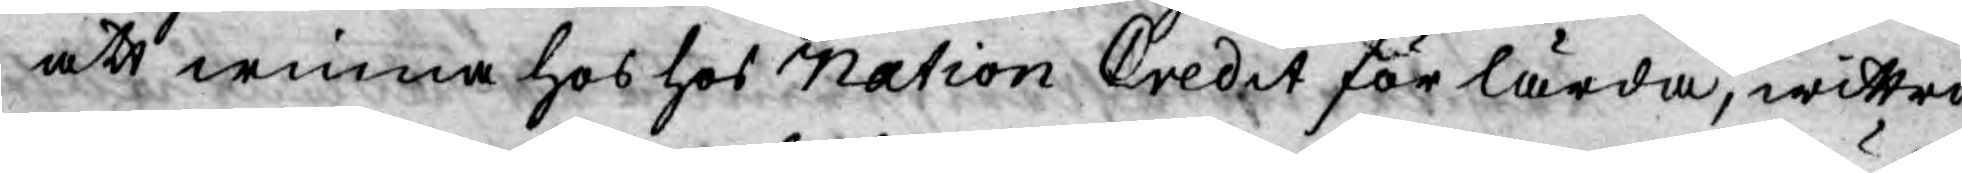att winna hos hos Nation Credit för lärda, wittra
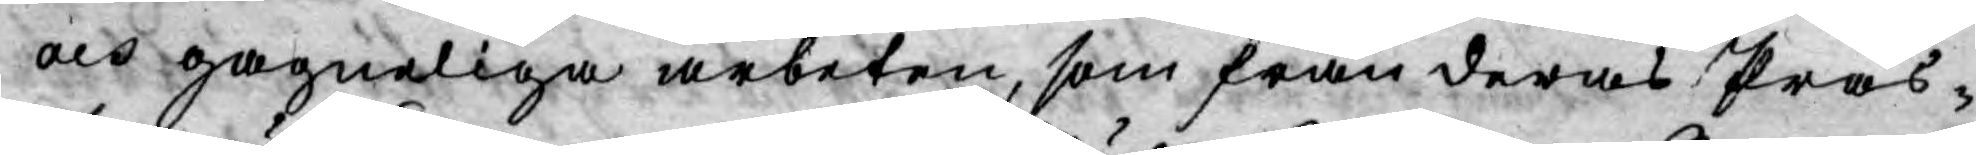och gagneliga arbeten, som från deras Präs¬
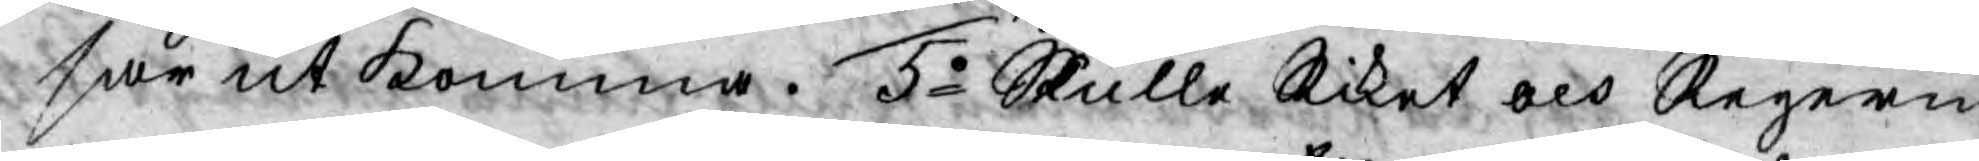sar utkomma. 5o Skulle Riket och Regerin¬
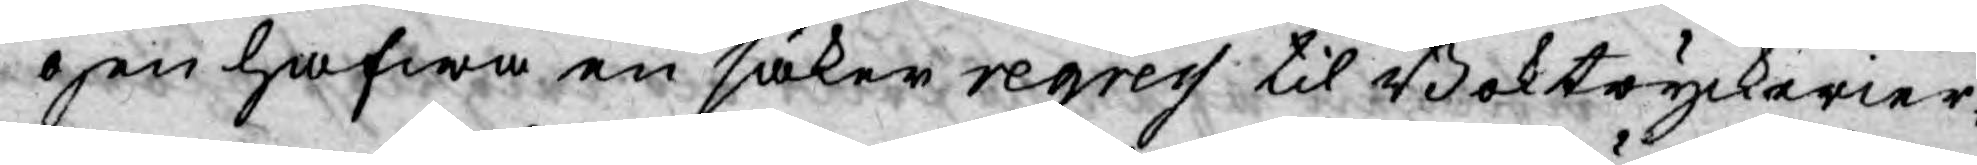gen hafwa en säker regress til Boktryckerier¬
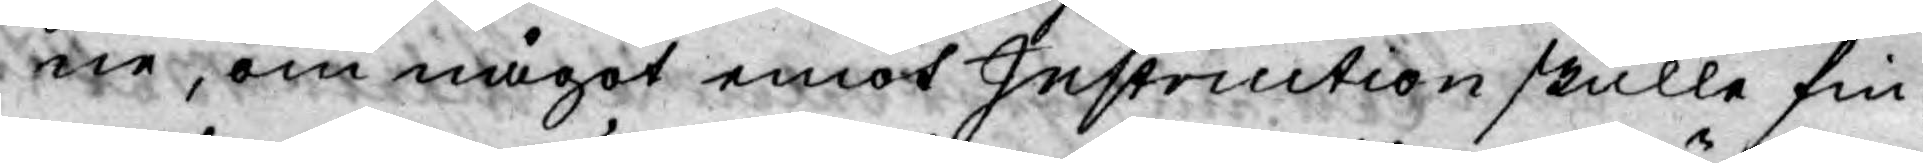ne, om något emot Instruction skulle fin¬
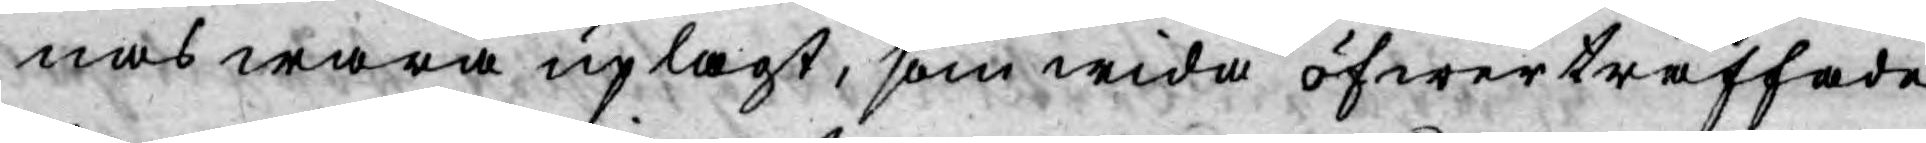nas wara uplagt, som wida öfwerträffade
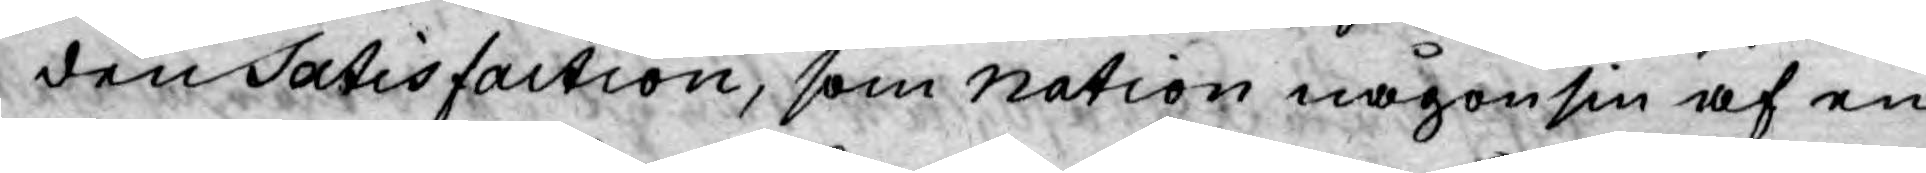den Satisfaction, som Nation någonsin af en
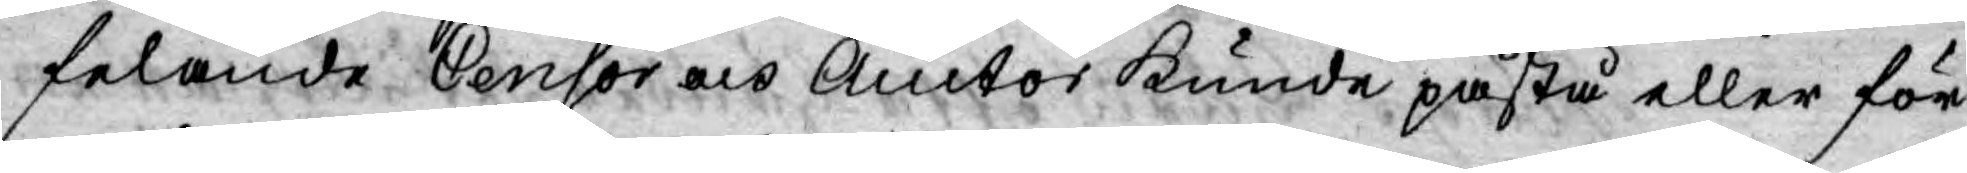felande Censor och Auctor kunde påstå eller för¬
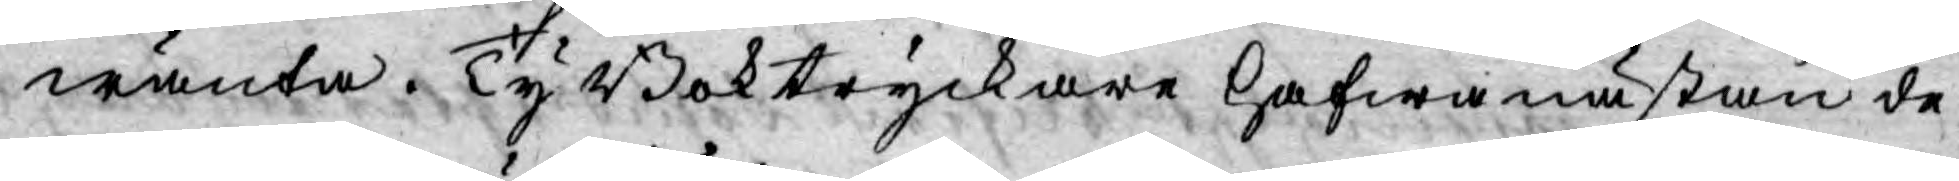wänta. Ty Boktryckare hafwa nästan de
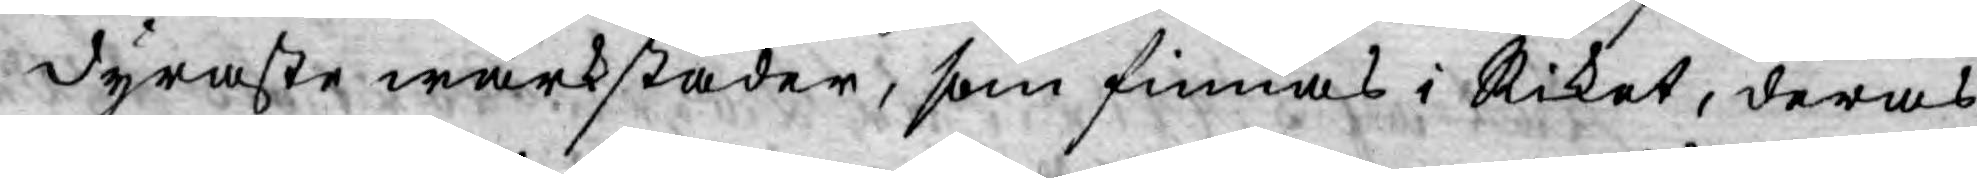dyraste wärkstäder, som finnas i Riket, deras
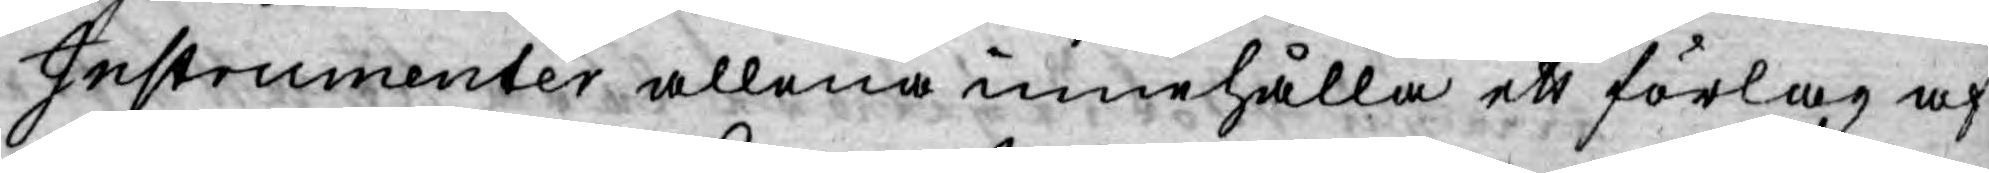Instrumenter allena innehålla ett förlag af
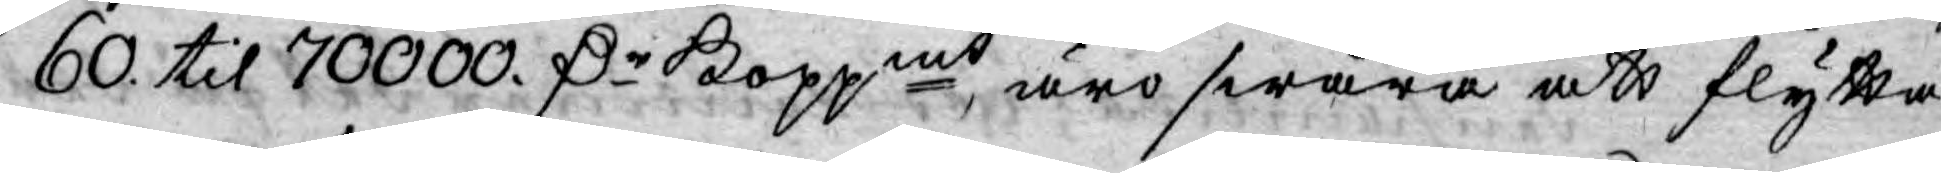60. til 70000. D:r Koppmt äro swåra att flytta
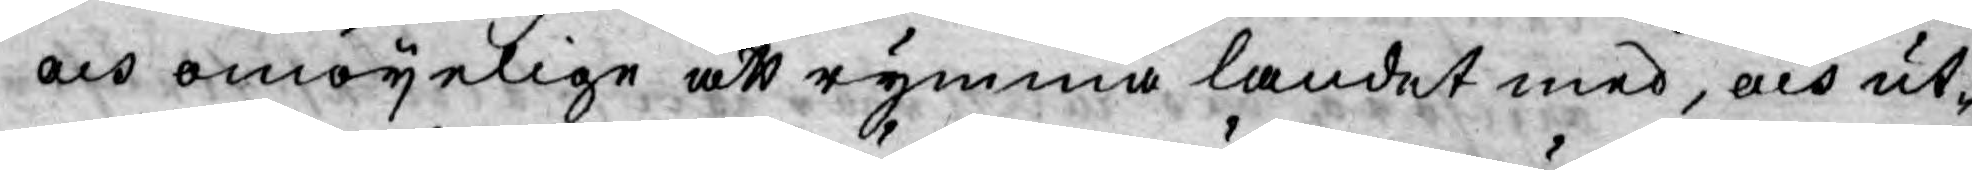och omöyelige att rymma landet med, och ut¬
